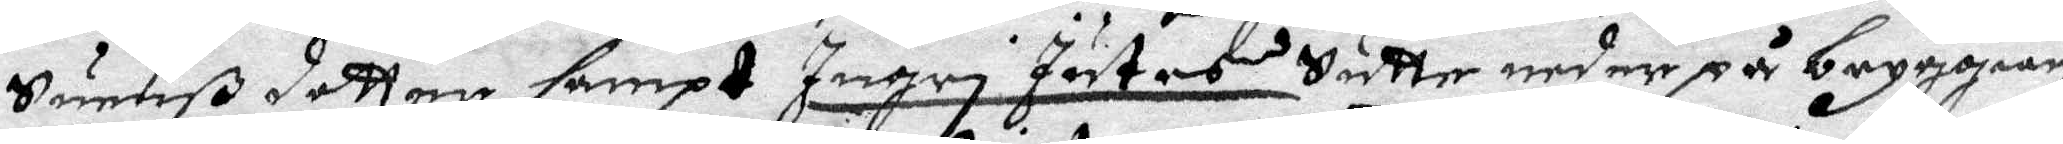Suenß dotter sampt Ingri Jutes sutte andre på bryggian
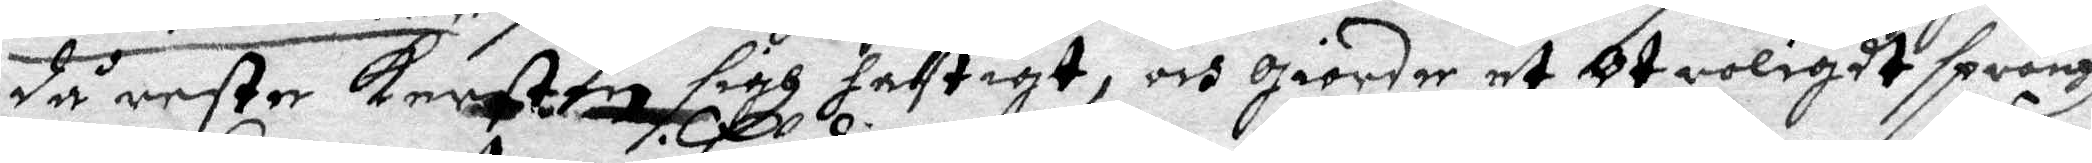då reste Kerstin sigh hastigt, och giordhe et Otroligdt språngh
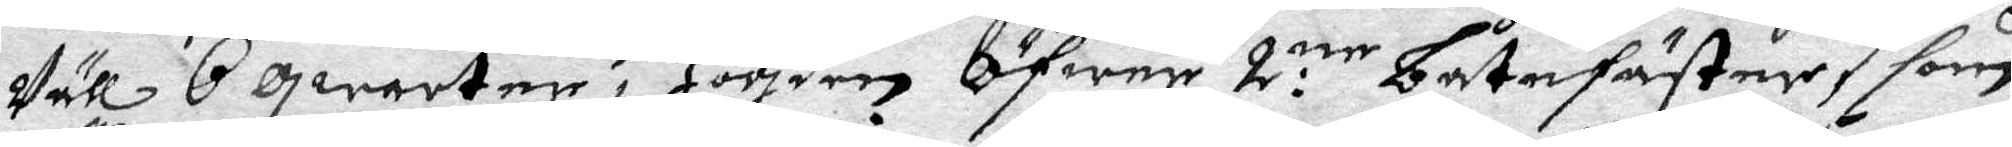Vll 6 qwarter i Högden Öfwer 2:ne båtefäster, som
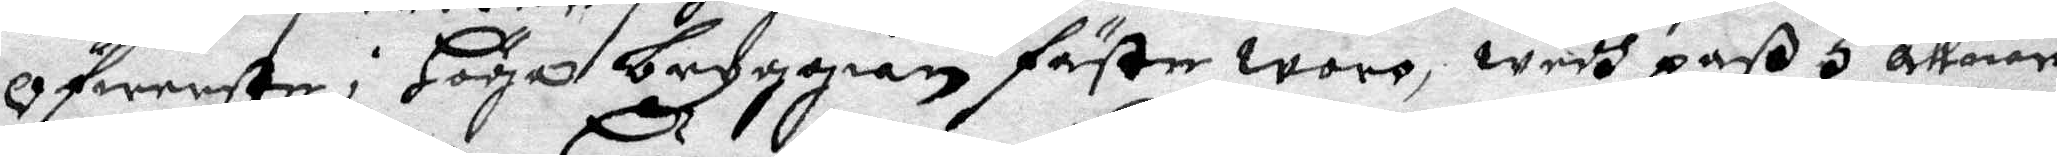Öfwerste i Höga bryggian fäste woro, wedh paß 5 allnar
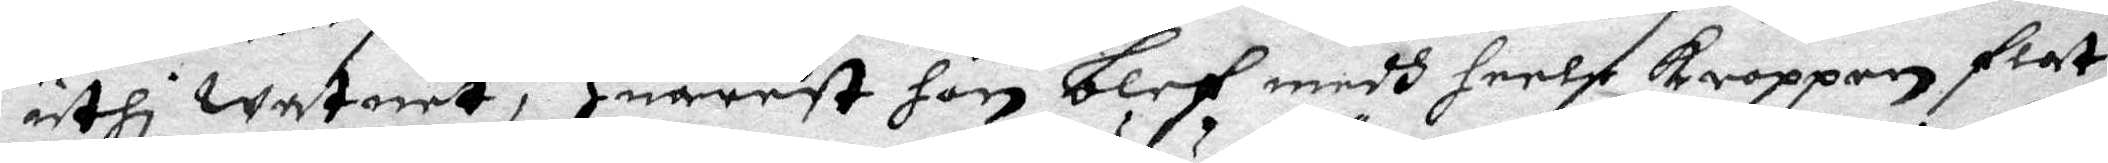uthi watnet, Huarest hon blef medh heela Kroppen flat
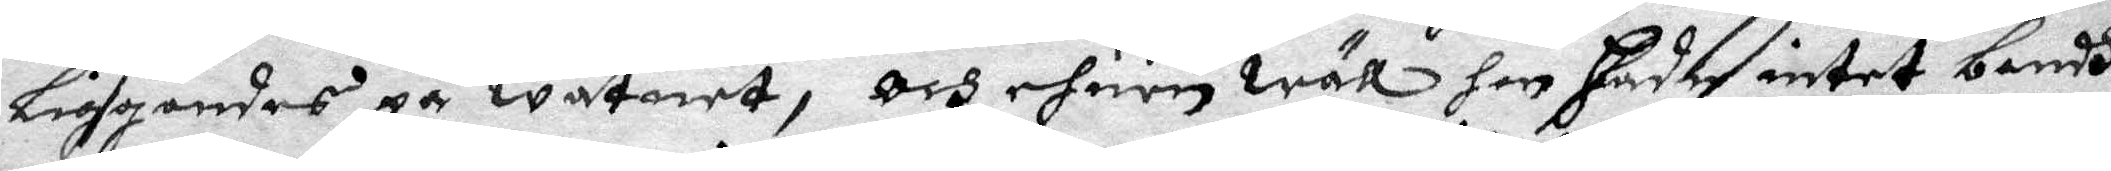liggandes på watnet, och ehuru wäll hon hadhe intet bandh
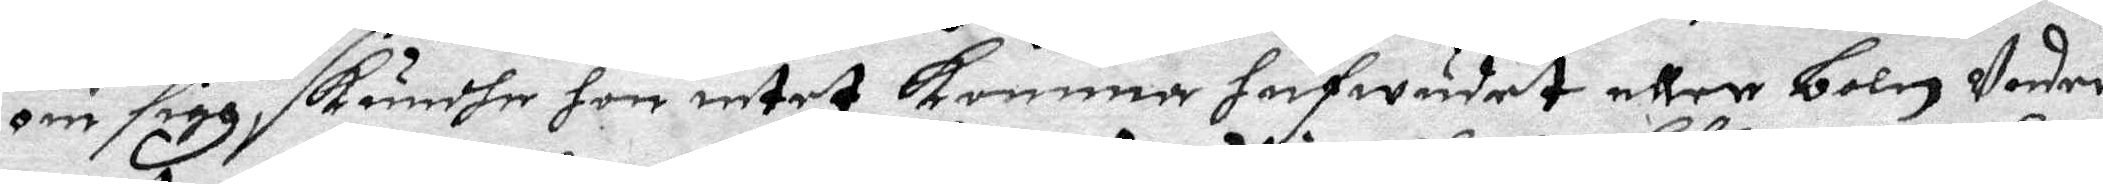om sigh, kundhe hon intet komma hufwudet eller boln Under
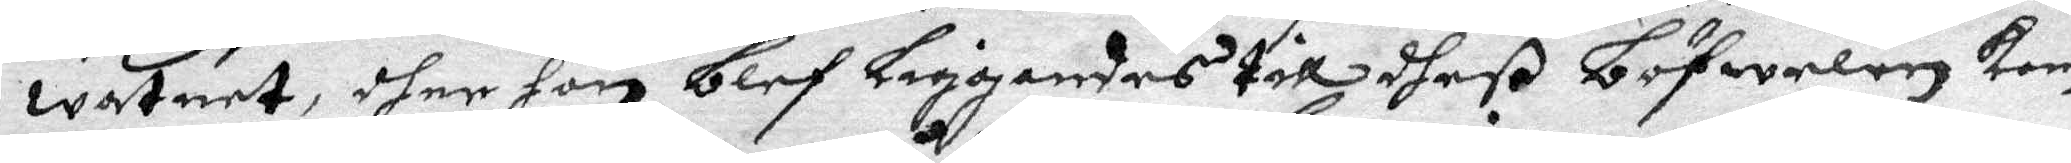watnet, dher hon blef liggandes till dheß böfwelen km 
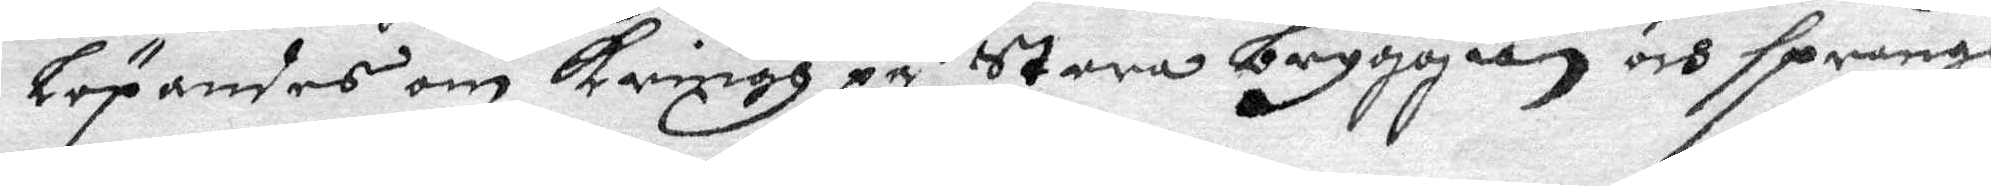löpandes om kringh på stora bryggian och sprang
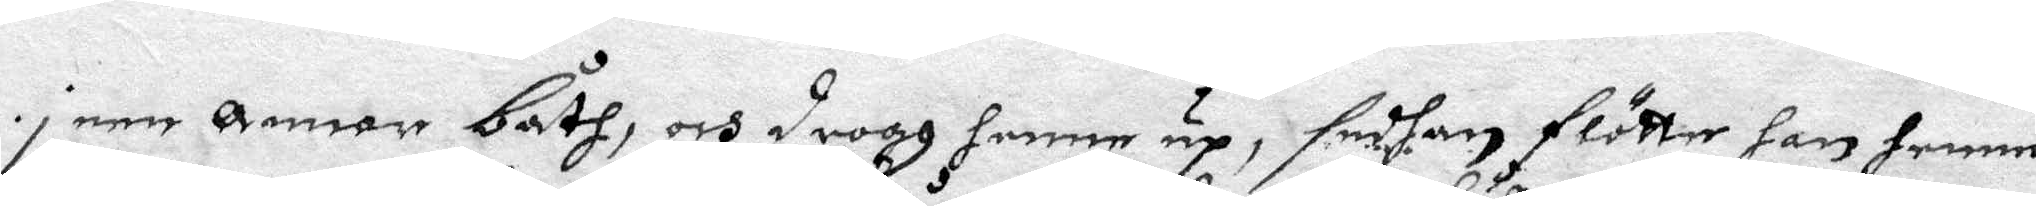i een Annor båth, och drogh henne up, sedhan flötte han henne
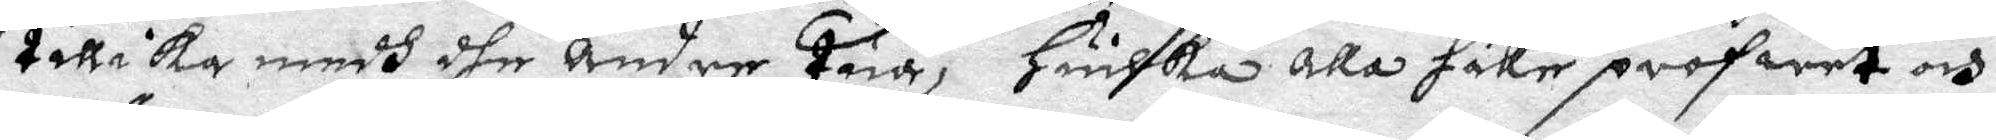tillika medh dhe Andre Tua, Huilka alla hålle profwet och
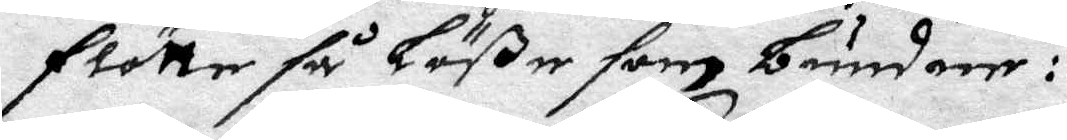flötte så löße som bundne:
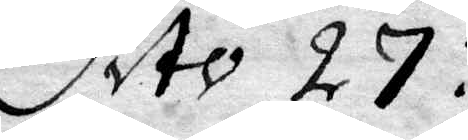Dito 27:
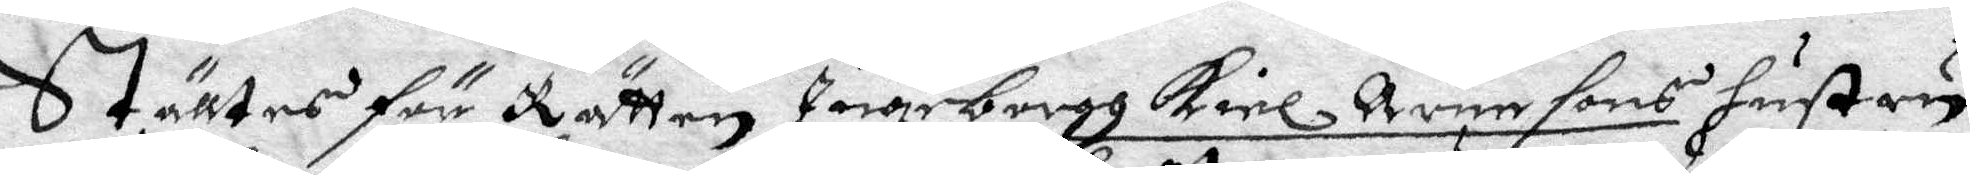Ställtes för Rätten Ingeborgh Kiel Aoensons hustru
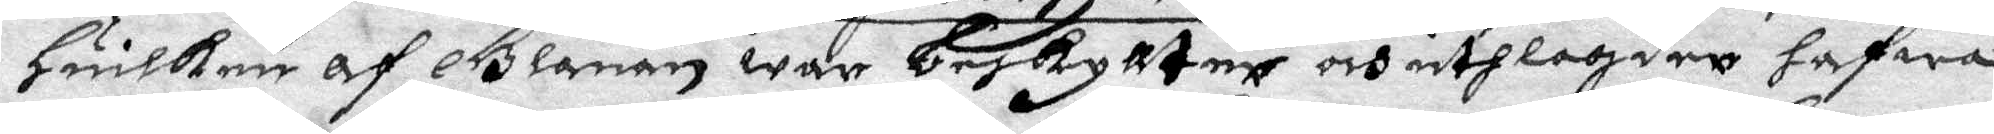Huilken af Glanan war beskylltne och uthlagder hafwa
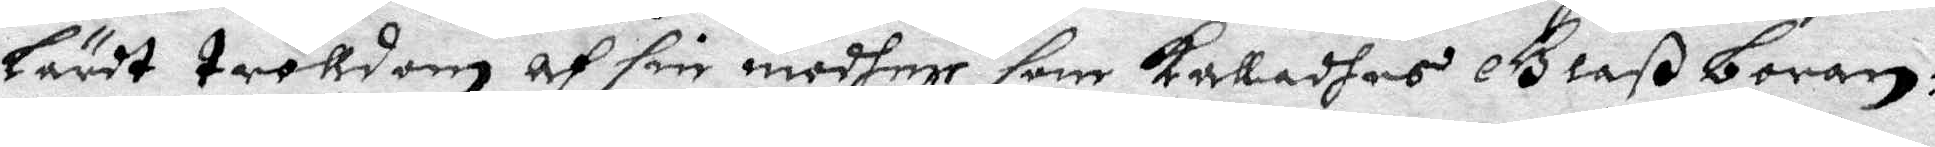Lärdt trolldom och sin modher som kalladhes Glaß boran:
